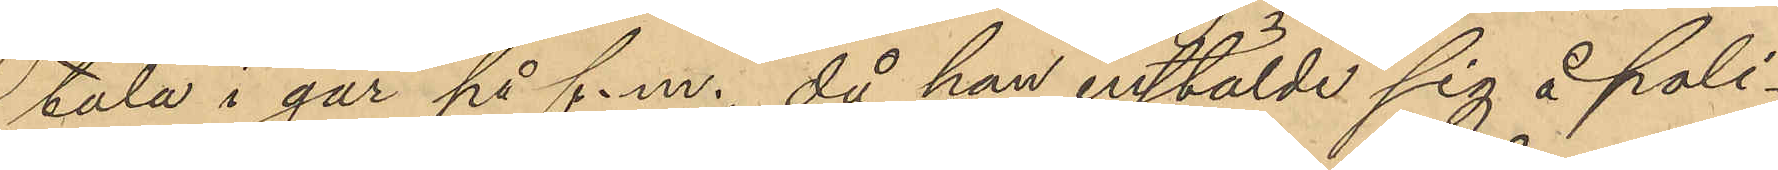tala i går på f.m., då han anstälde sig å poli¬
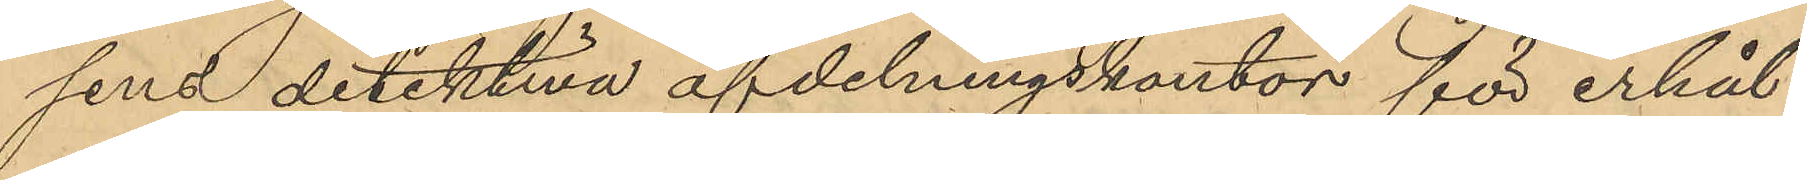sens detektiva afdelningskontor för erhål¬
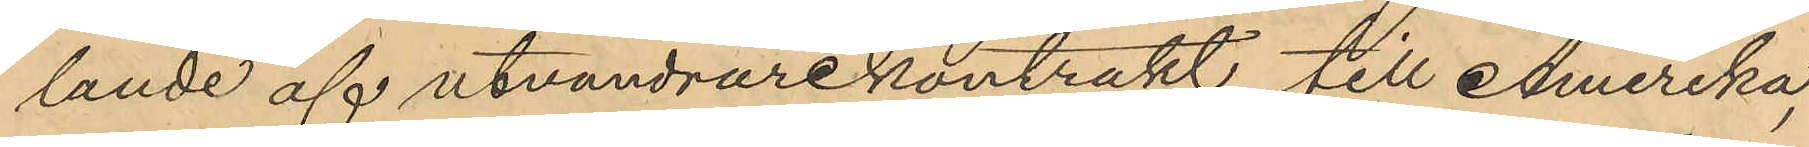lande af utvandrarekontrakt till Amerika,
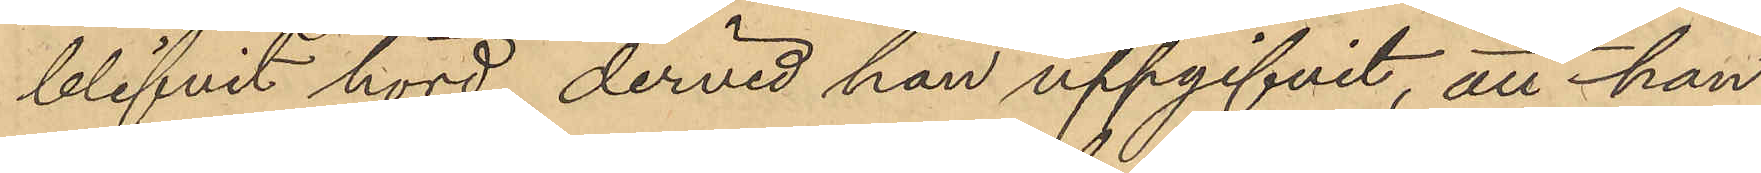blifvit hörd, dervid han uppgifvit, att han
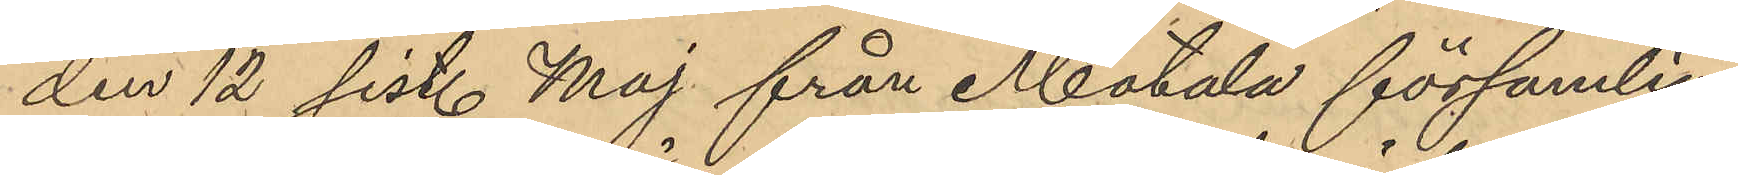den 12 sist. Maj från Motala församling.
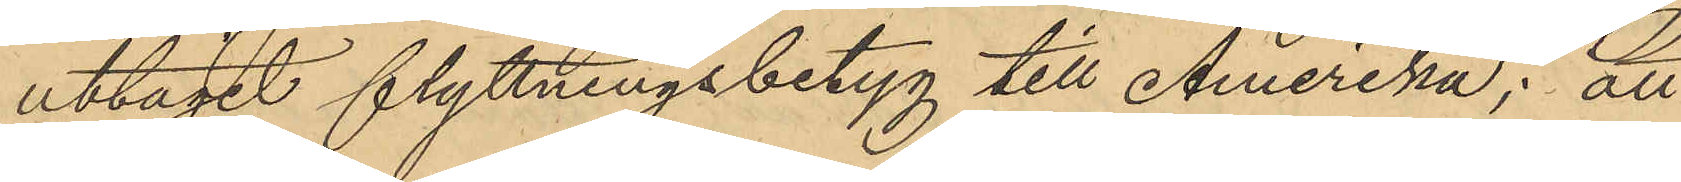uttagit flyttningsbetyg till Amerika; att
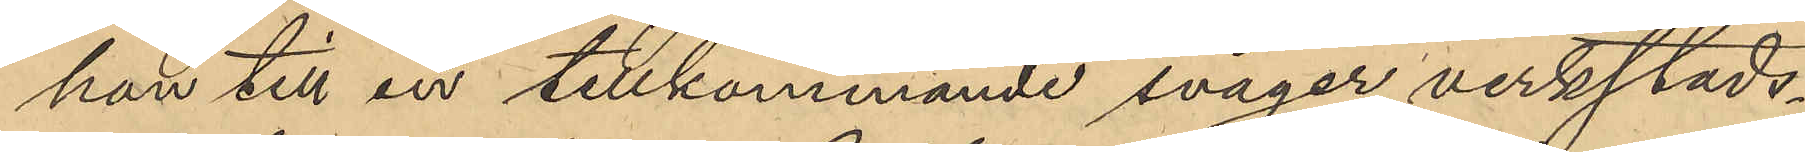han till en tillkommande svåger verkstads¬
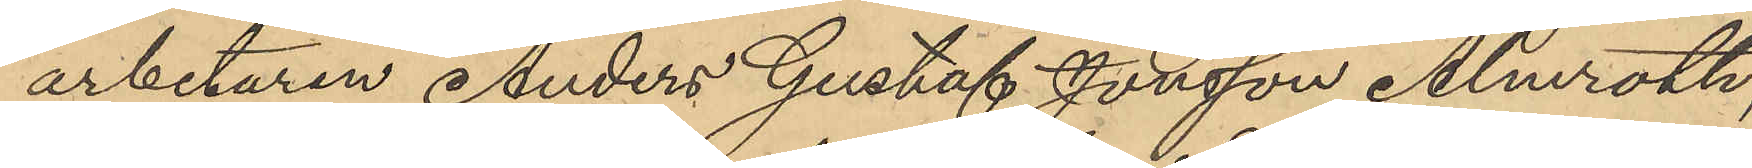arbetaren Anders Gustaf Jonsson Almroth,
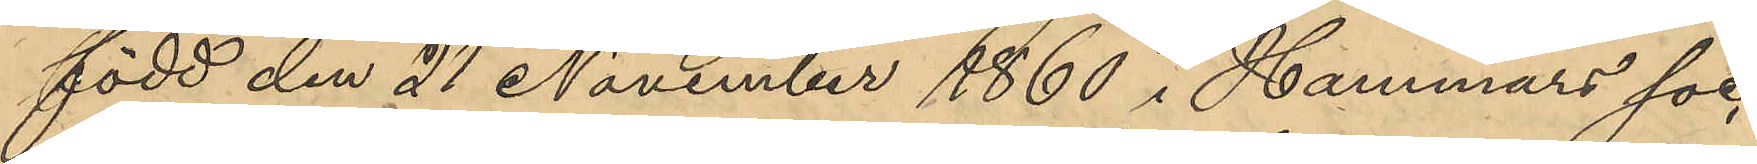född den 21 November 1860 i Hammars soc-
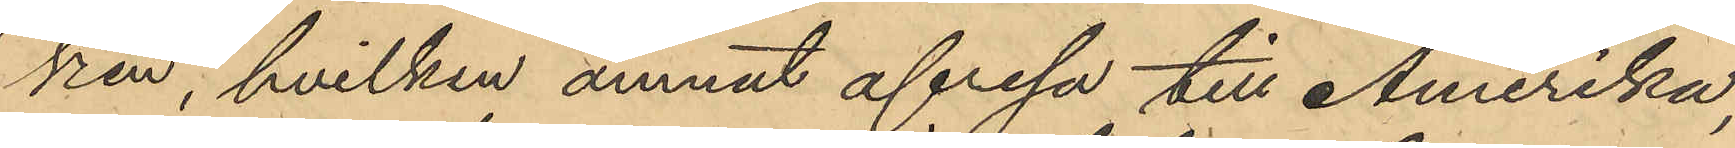ken, hvilken ämnat afresa till Amerika,
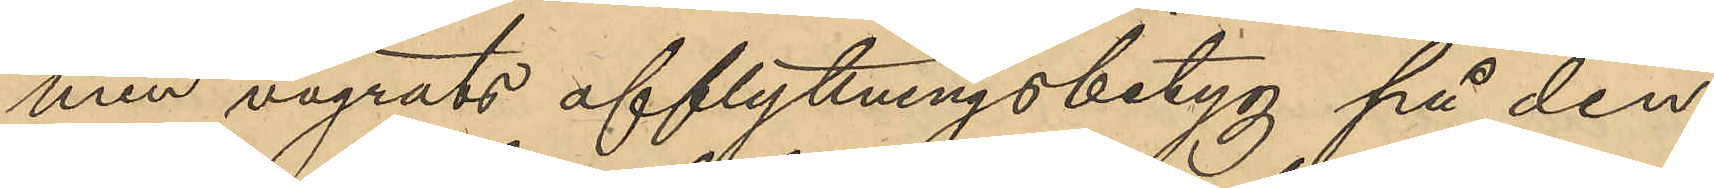men vägrats afflyttningsbetyg på den
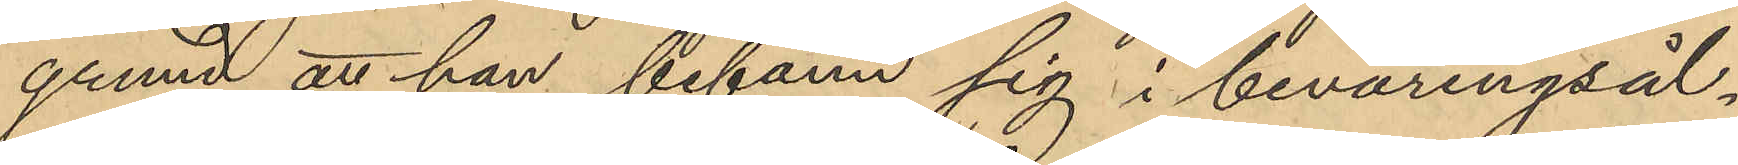grund att han befann sig i beväringsål¬
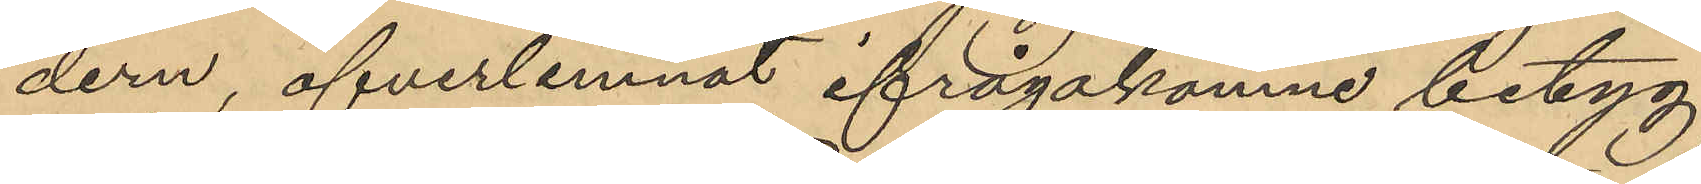dern, öfverlemnat ifrågakomne betyg
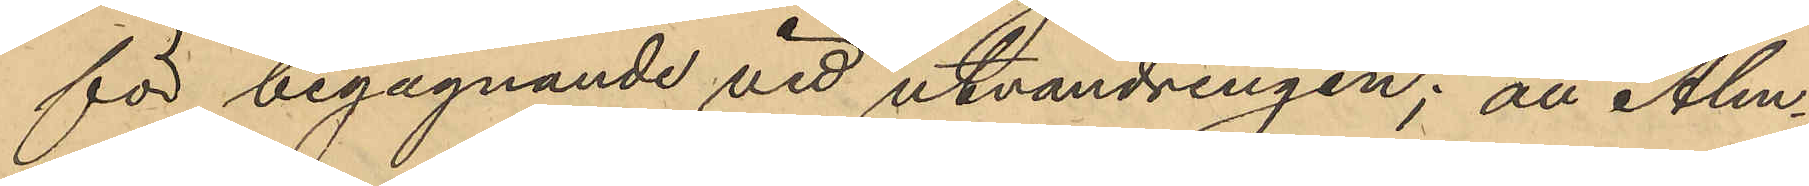för begagnande vid utvandringen; att Alm¬
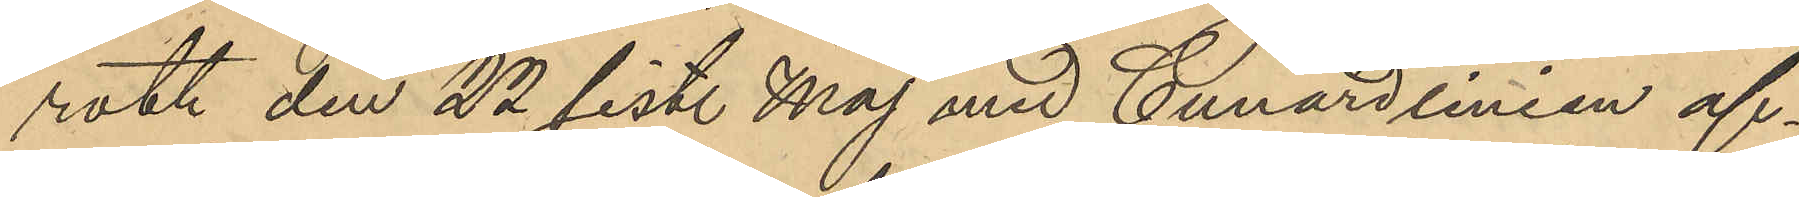roth den 22 sist. Maj med Cunardlinien af¬
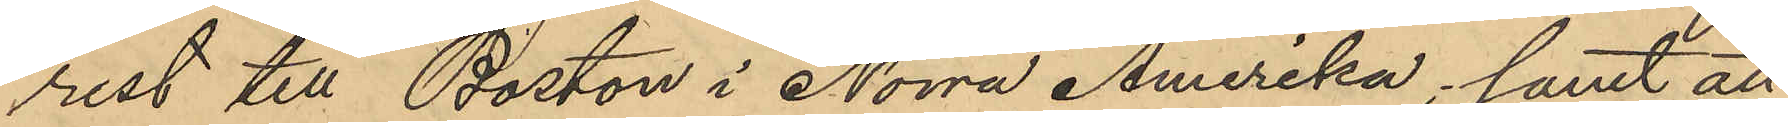rest till Boston i Norra Amerika; samt att
